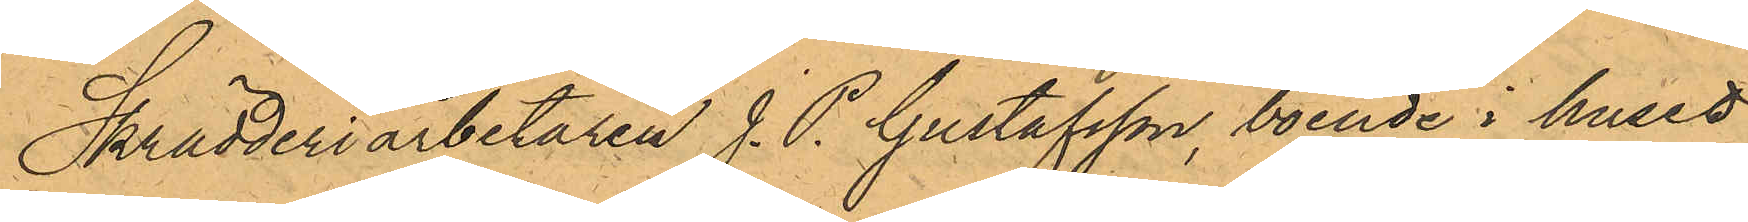Skrädderiarbetaren J. P. Gustafsson, boende i huset
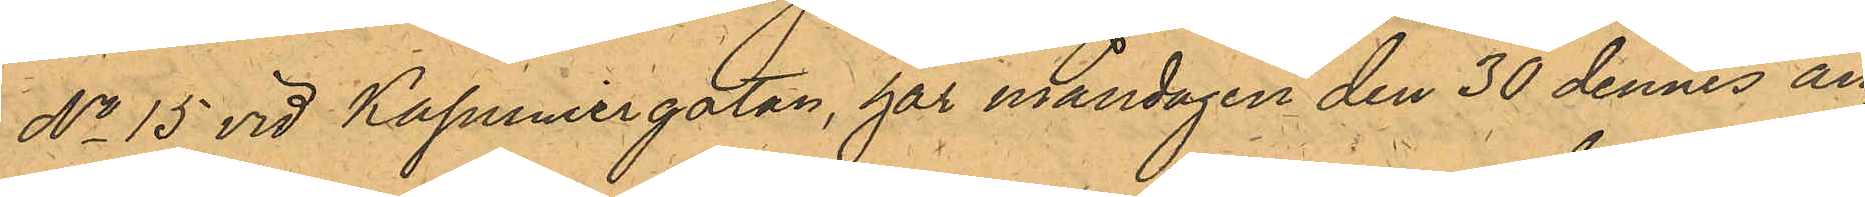No 15 vid Kapuniergatan, har måndagen den 30 dennes an¬
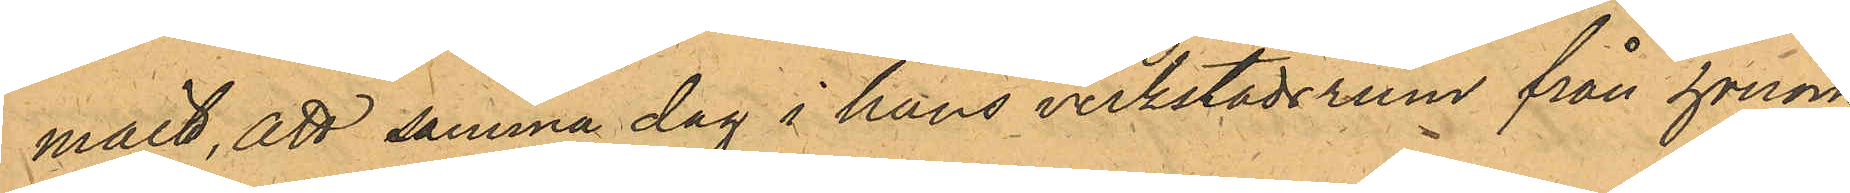mält, att samma dag i hans verkstadsrum från honom
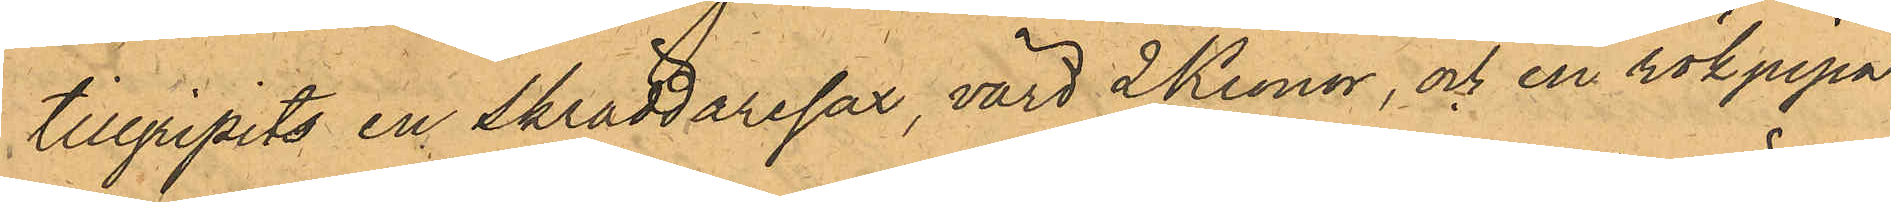tillgripits en skräddaresax, värd 2 Kronor, och en rökpipa
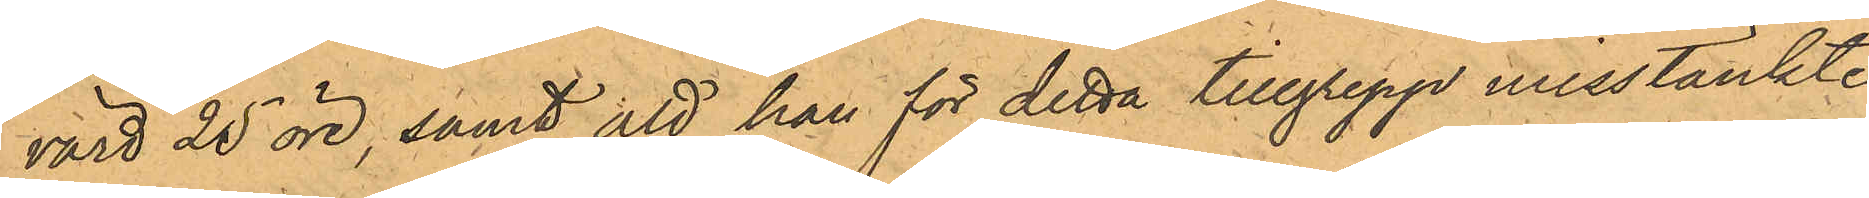värd 25 öre, samt att han för detta tillgrepp misstänkte
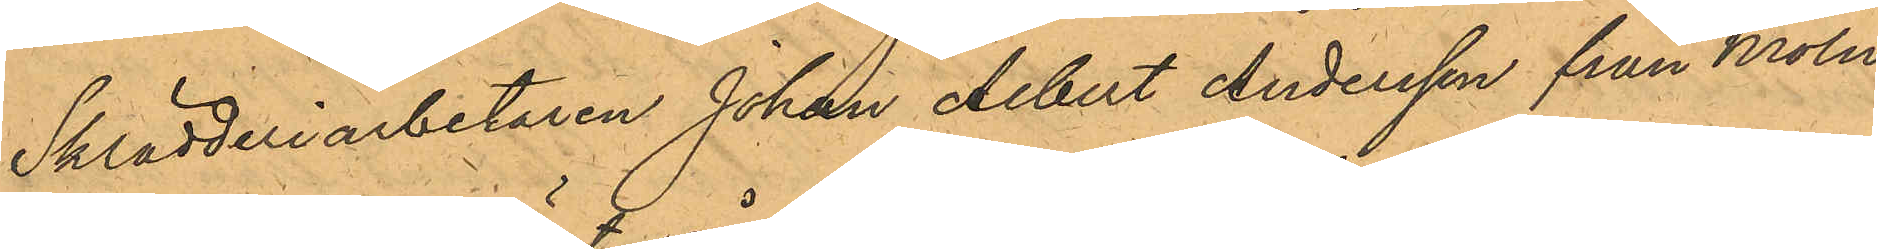Skrädderiarbetaren Johan Albert Andersson från Möln¬
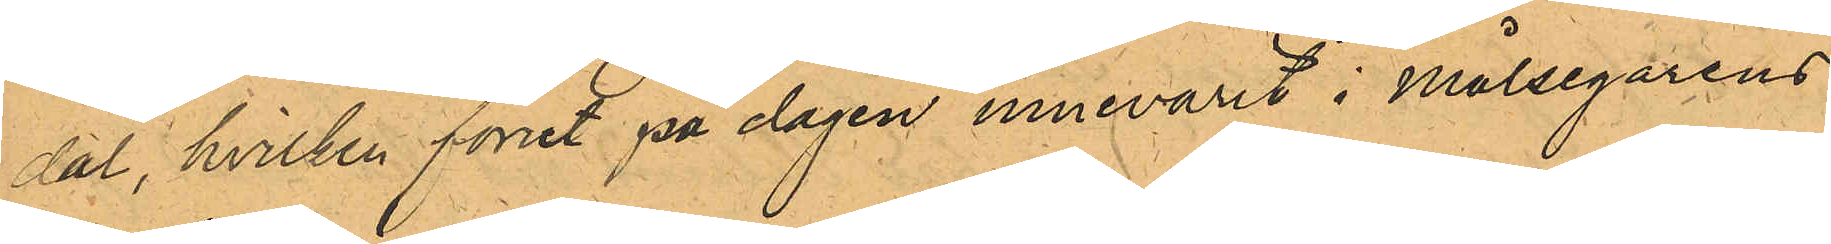dal, hvilken förut på dagen innevarit i Målsegarens
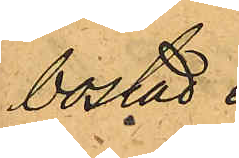bostad.
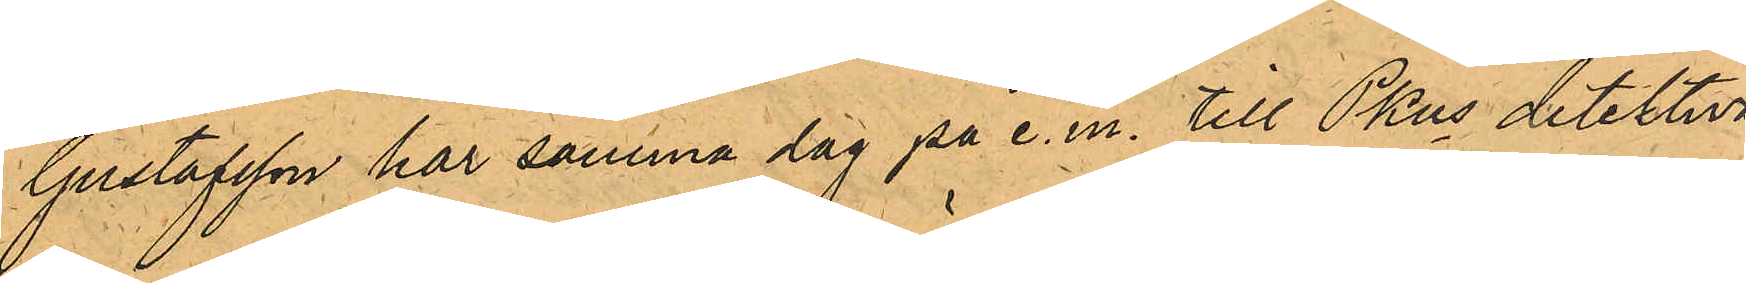Gustafsson har samma dag på e.m. till PKns detektiva
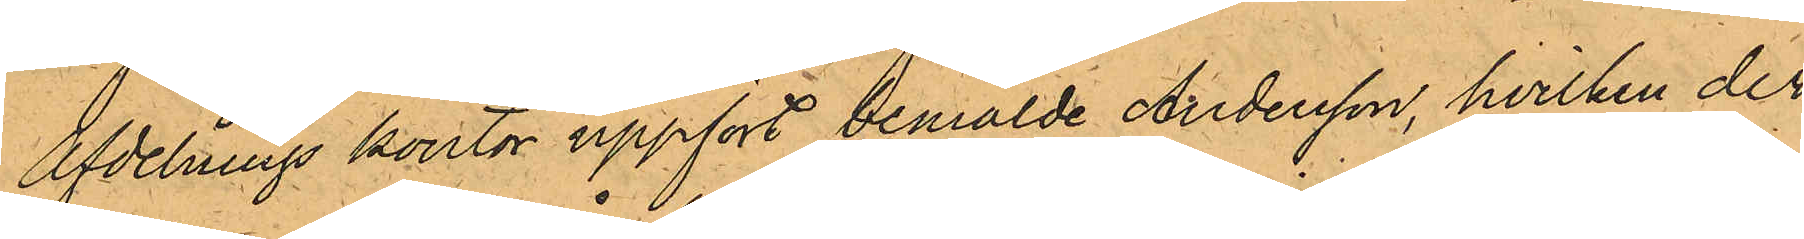Afdelnings kontor uppfört bemälde Andersson, hvilken der¬
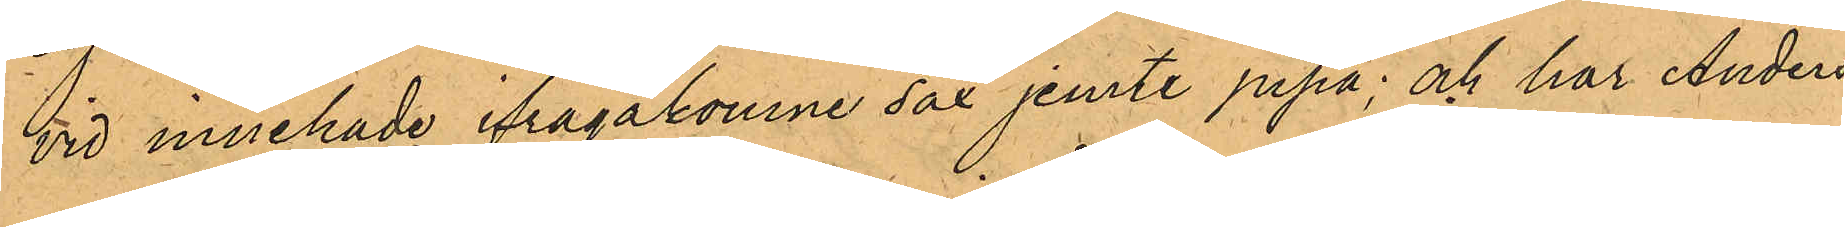vid innehade ifrågakomne sax jemte pipa; och har Anders¬
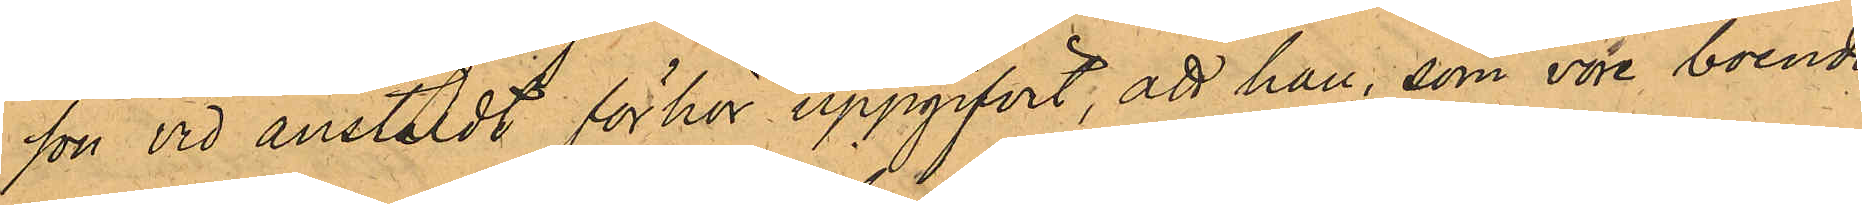son vid anstäldt förhör uppgifvit, att han, som vore boende
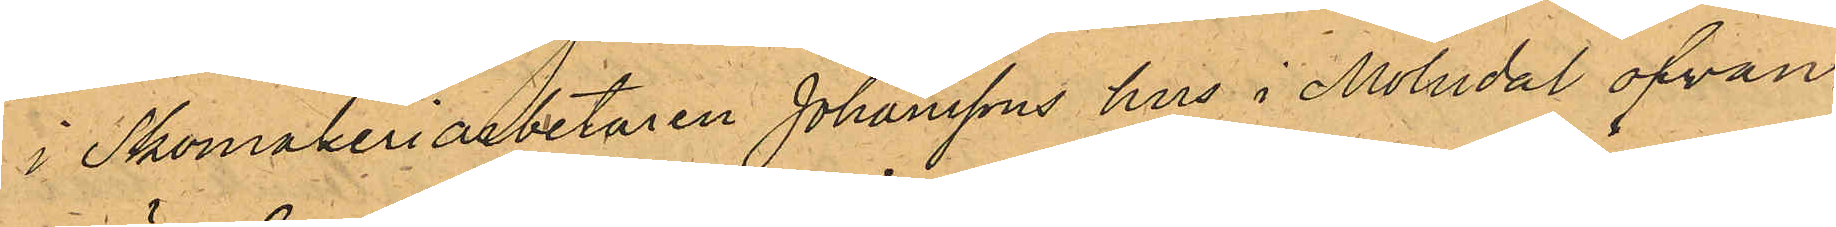i Skomakeriarbetaren Johanssons hus i Mölndal ofvan¬
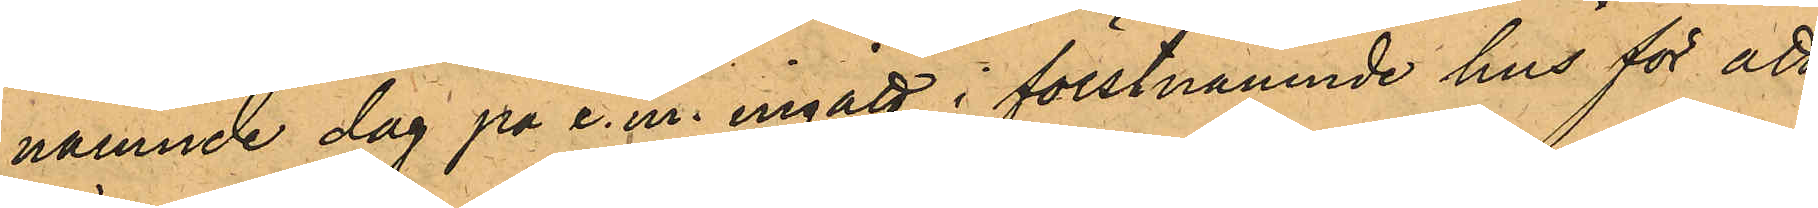nämnde dag på e. m. ingått i förstnämnde hus för att
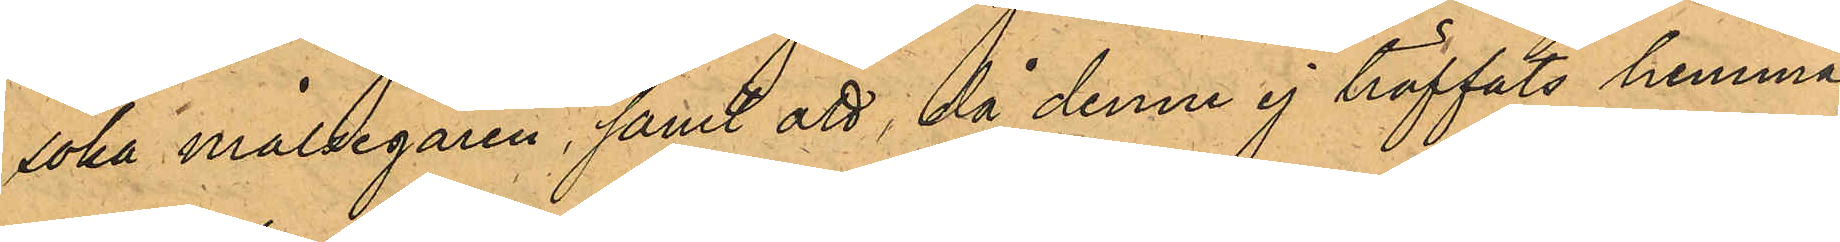söka målsegaren, samt att, då denne ej träffats hemma,
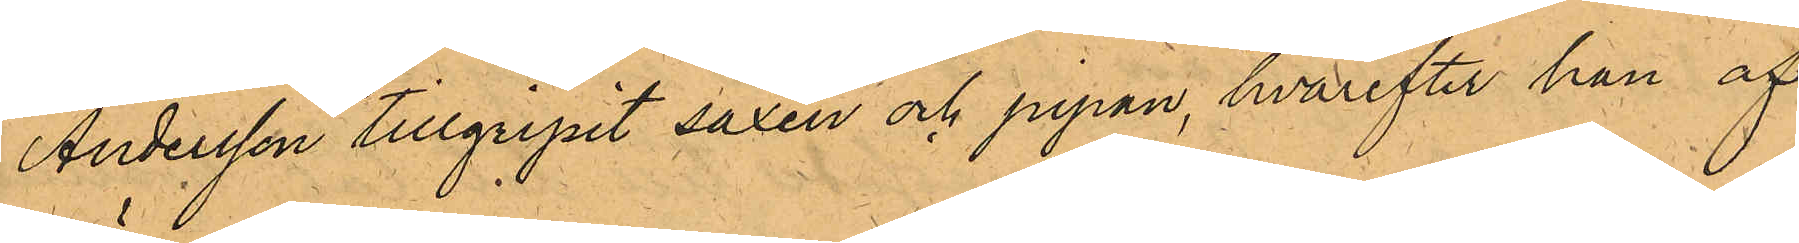Andersson tillgripit saxen och pipan, hvarefter han af¬
